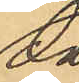då
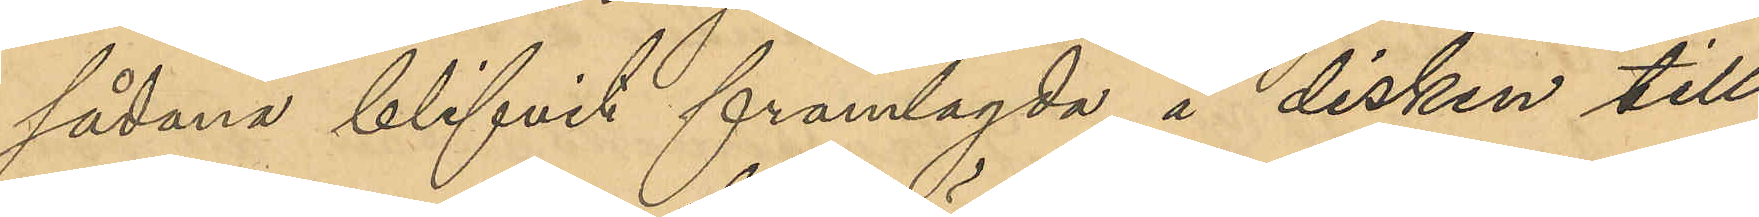sådana blifvit framlagda å disken till
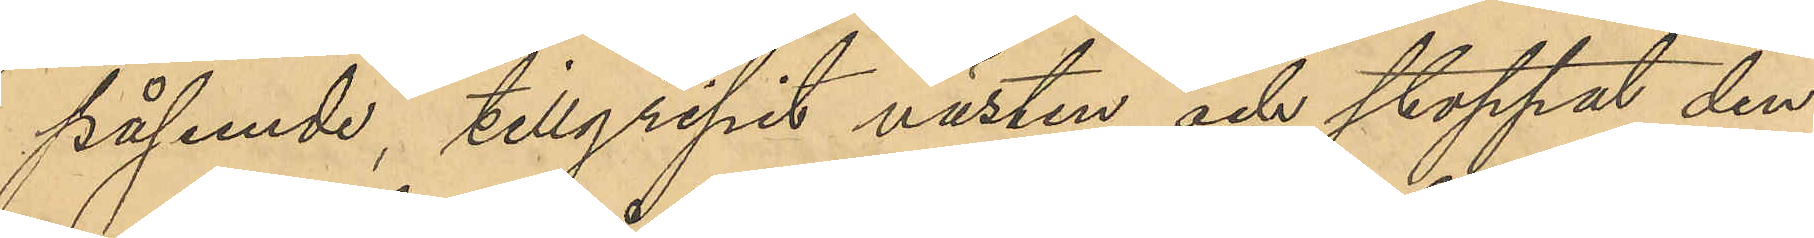påseende, tillgripit västen och stoppat den
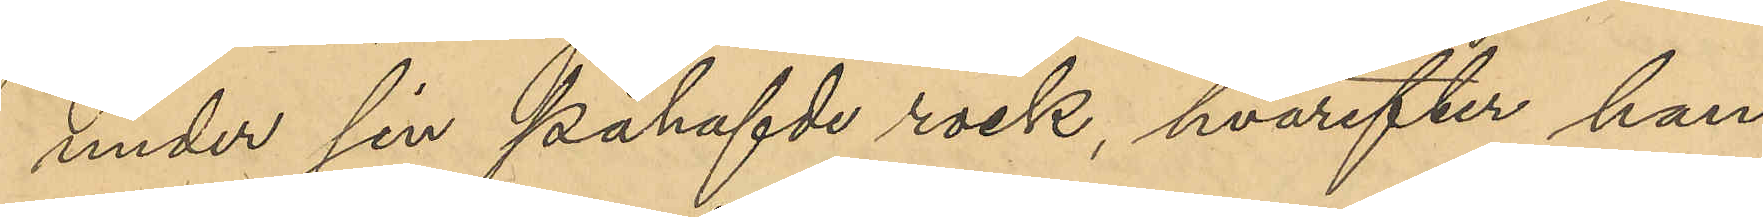under sin påhafvde rock, hvarefter han
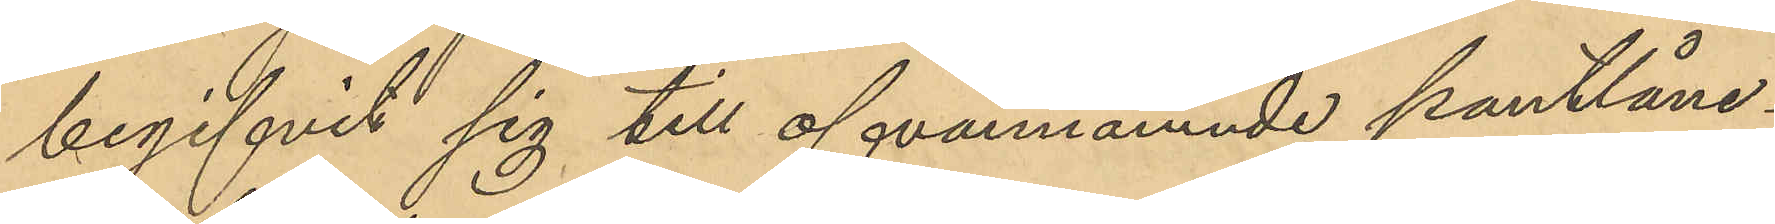begifvit sig till ofvannämnde pantlåne¬
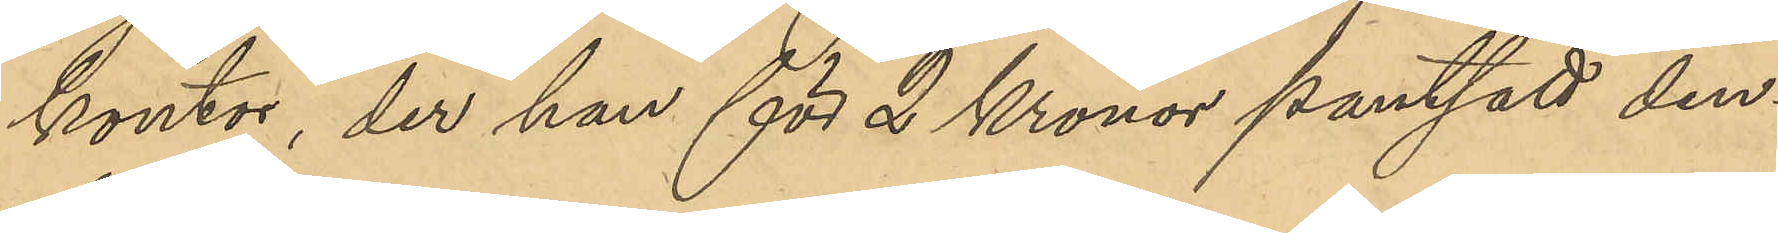kontor, der han för 2 Kronor pantsatt den¬
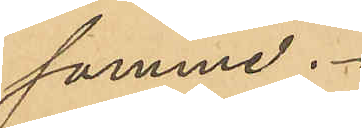samme.
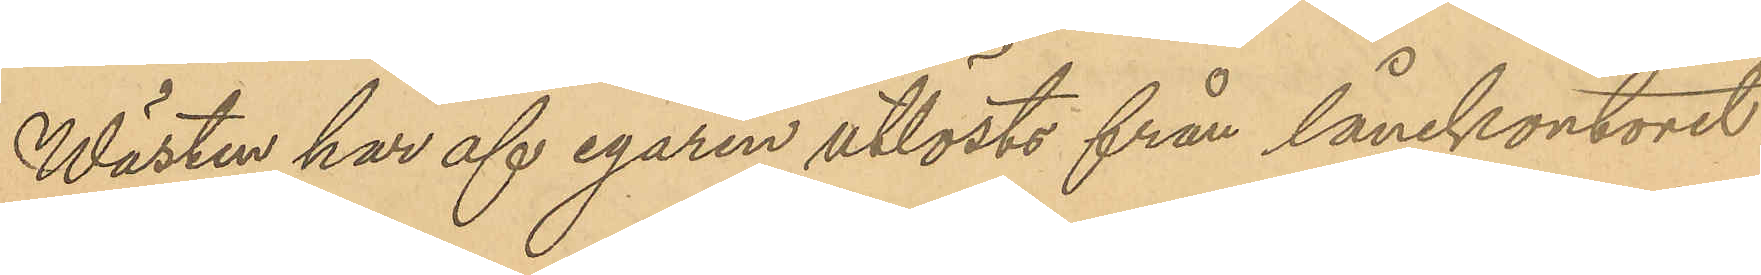Wästen har af egaren utlösts från lånekontoret
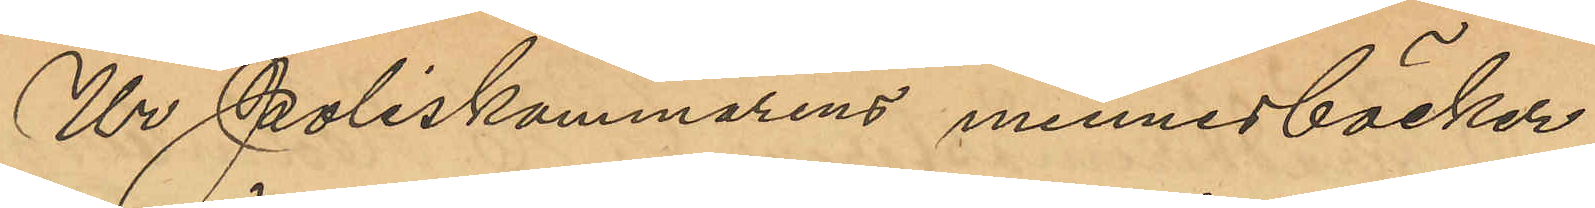Ur Poliskammarens minnesböcker
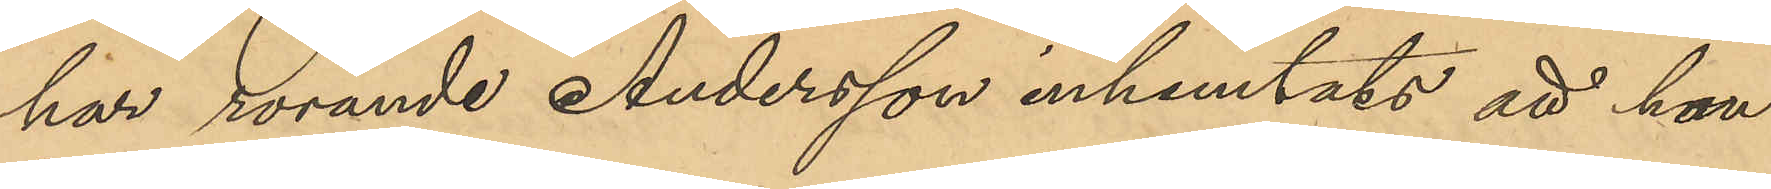har rörande Andersson inhemtats att han
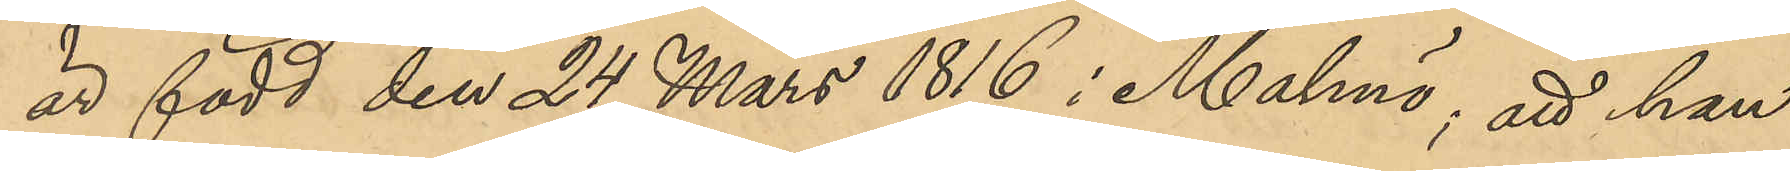är född den 24 Mars 1816 i Malmö; att han
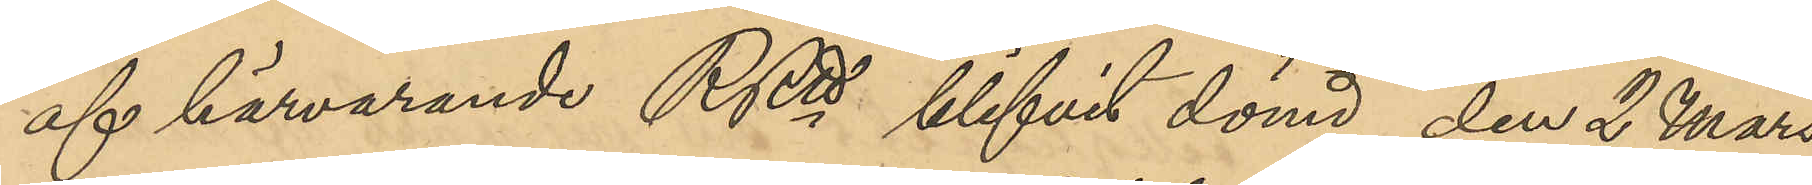af härvarande RRtt blifvit dömd, den 2 Mars
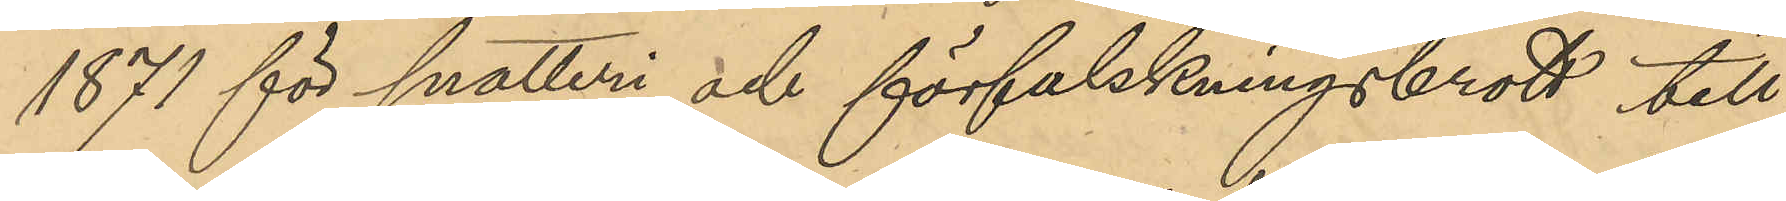1871 för snatteri och förfalskningsbrott till
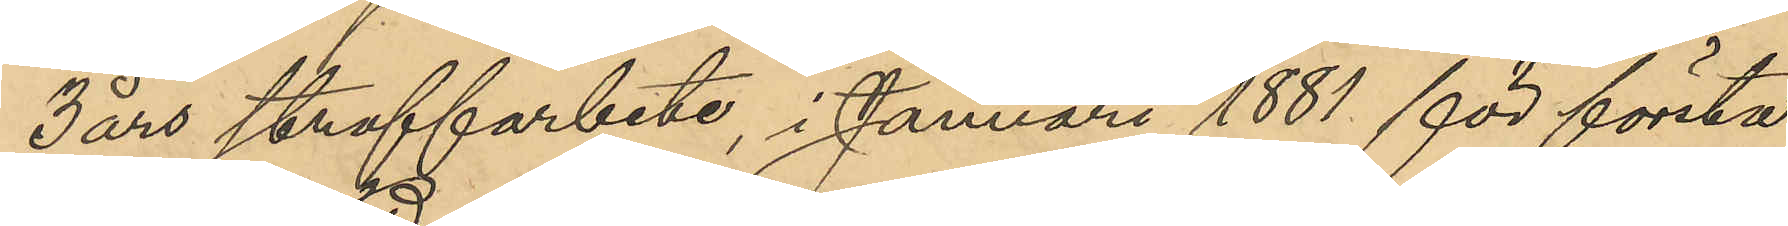3 års straffarbete, i Januari 1881 för första
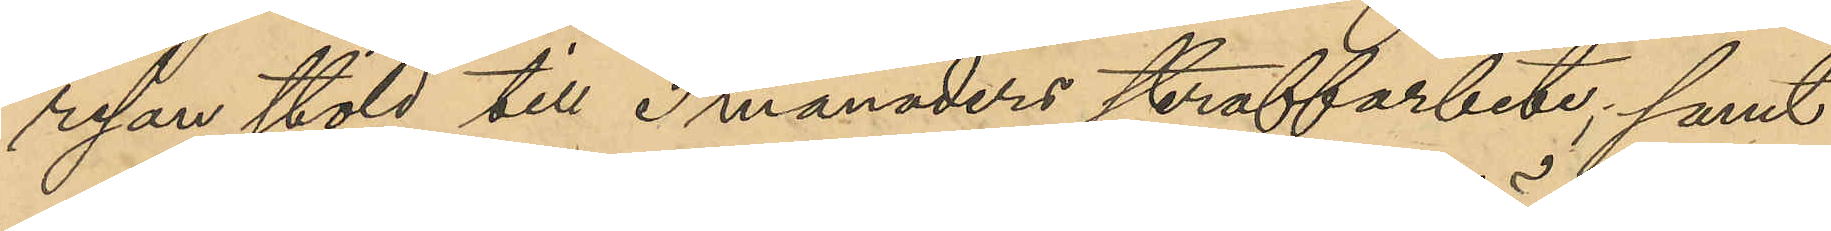resan stöld till 3 månaders straffarbete; samt
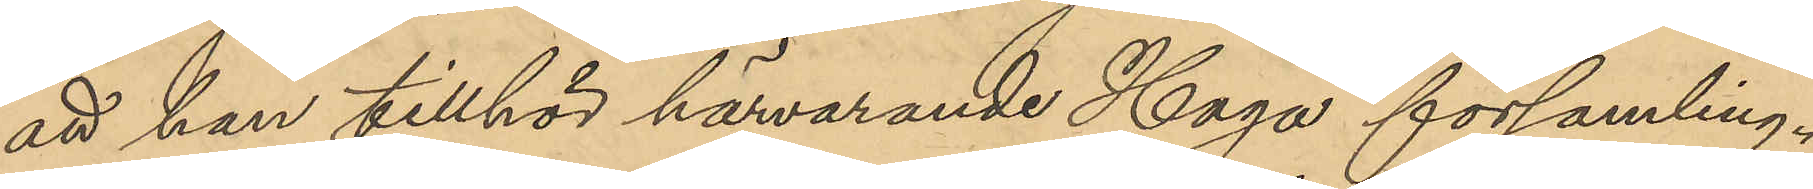att han tillhör härvarande Haga församling.
